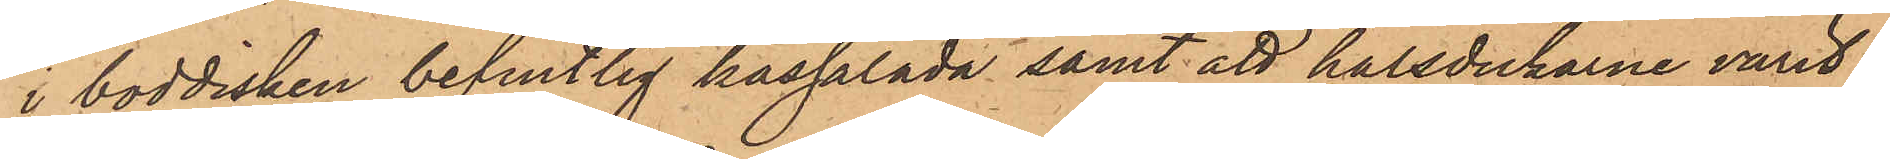i boddisken befintlig kassalåda samt att halsdukarne varit
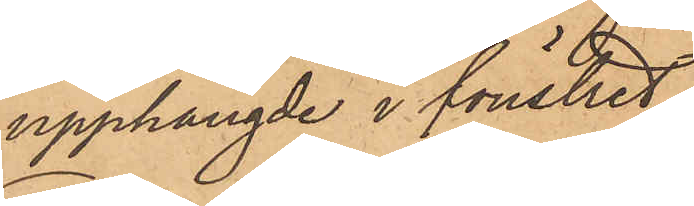upphängde i fönstret;
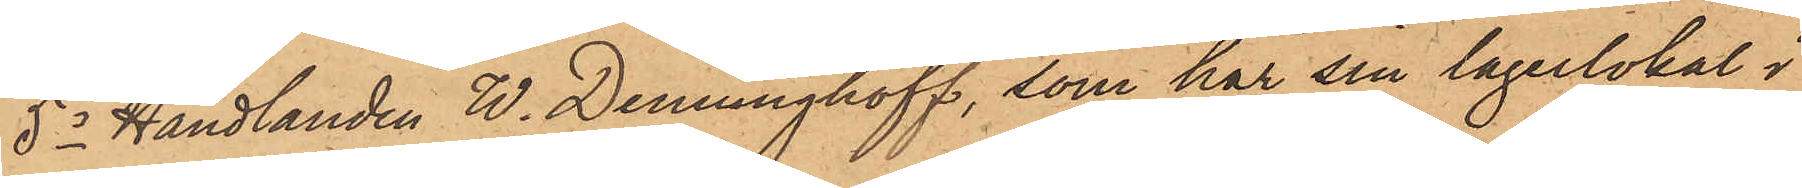5o Handlanden W. Denninghoff, som har sin lagerlokal i
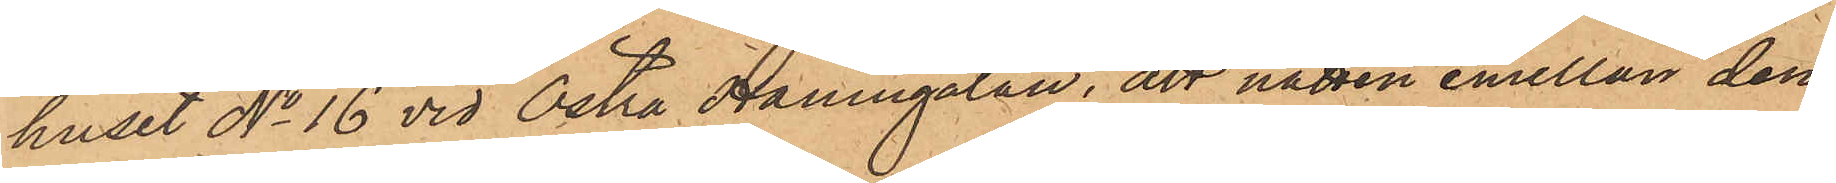huset No 16 vid Östra Hamngatan, att natten emellan den
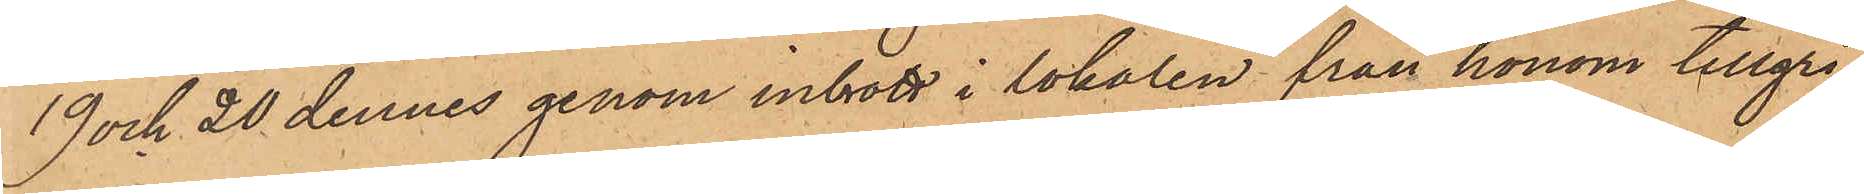19 och 20 dennes genom inbrott i lokalen från honom tillgri¬
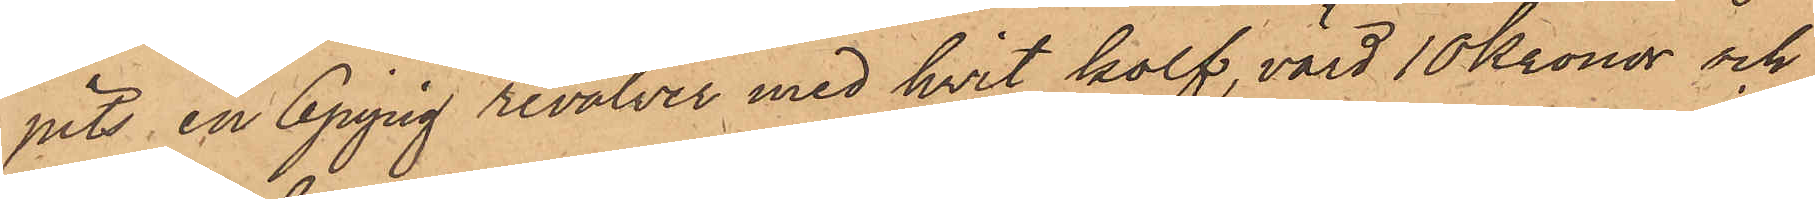pits en 6pipig revolver med hvit kolf, värd 10 Kronor och
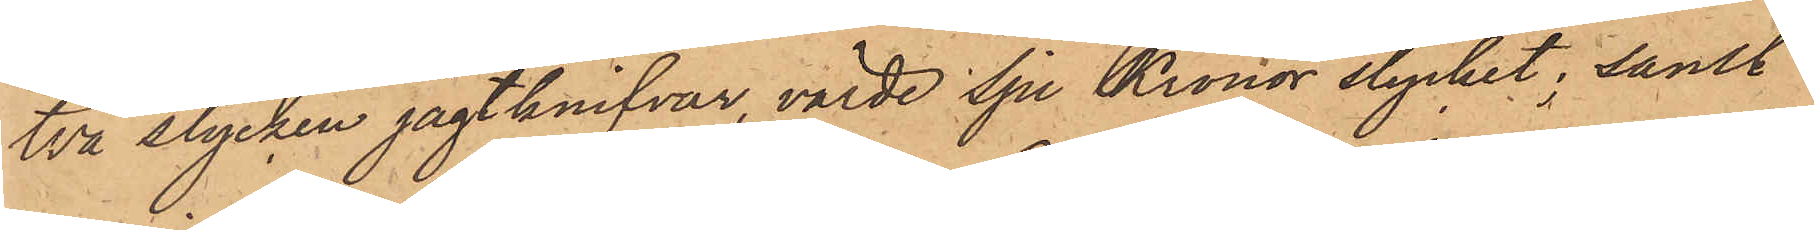två stycken jagtknifvar, värde sju Kronor stycket; samt
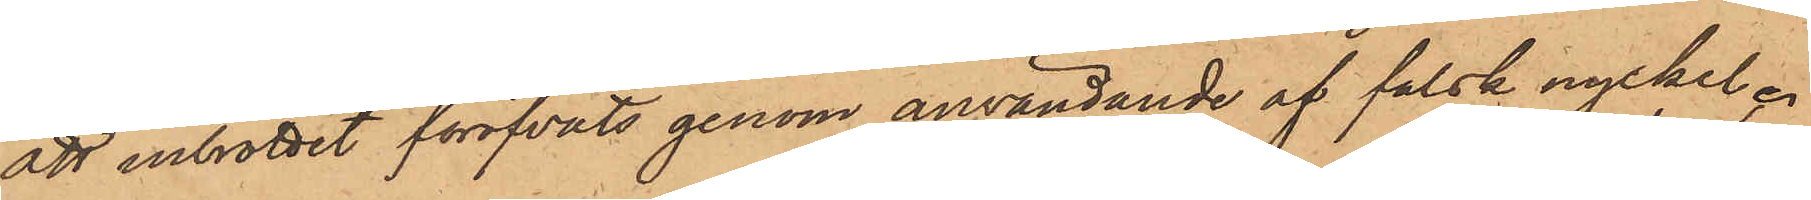att inbrottet föröfvats genom användande af falsk nyckel;
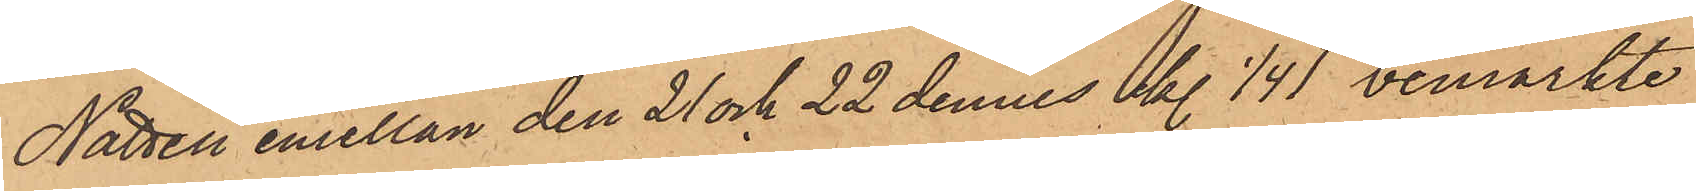Natten emellan den 21 och 22 dennes kl. 1/4 1 bemärkte
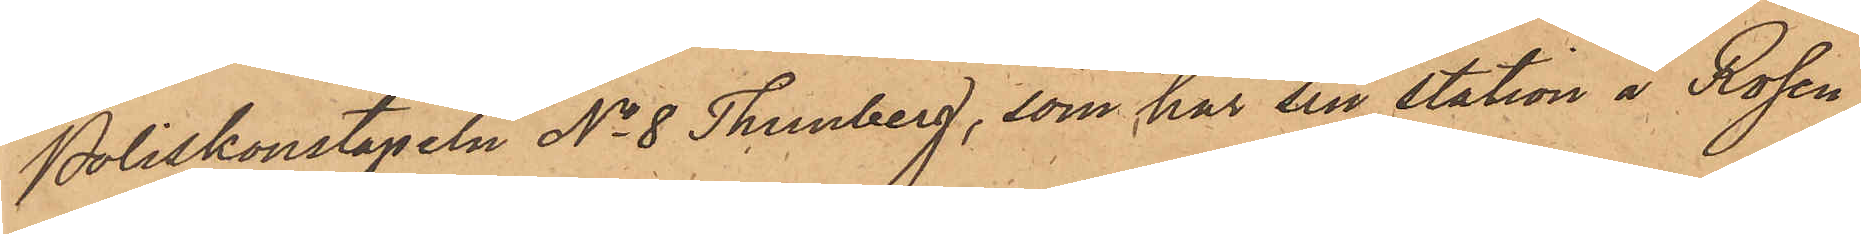Poliskonstapeln No 8 Thunberg, som har sin station å Rosen¬
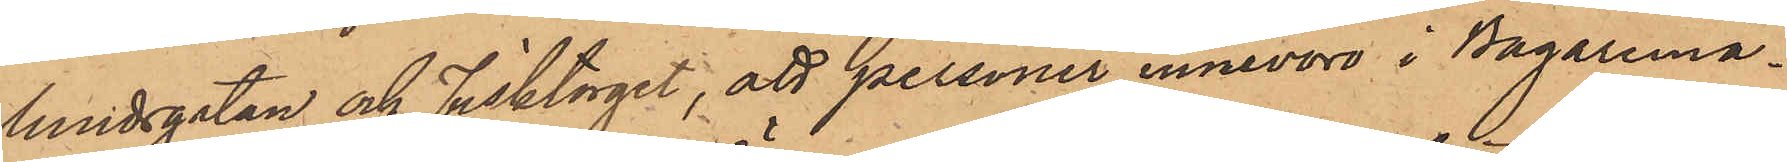lundsgatan och Fisktorget, att personer innevoro i Bagaremä¬
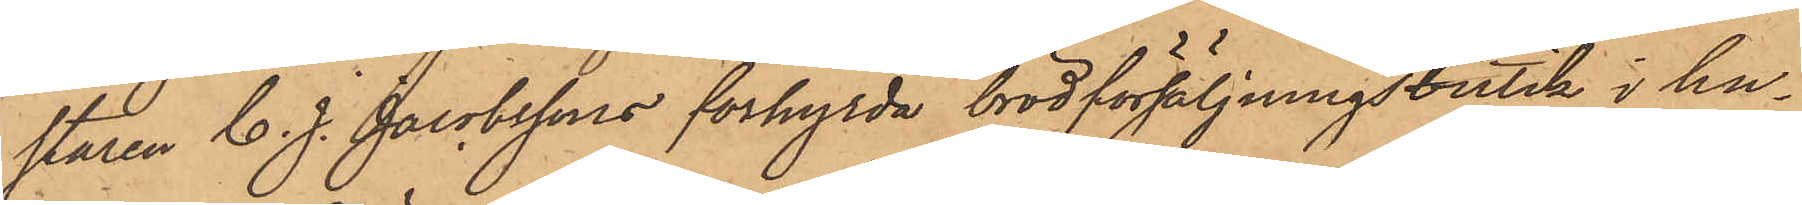staren C. J. Jacobssons förhyrda bröd försäljningsbutik i hu¬
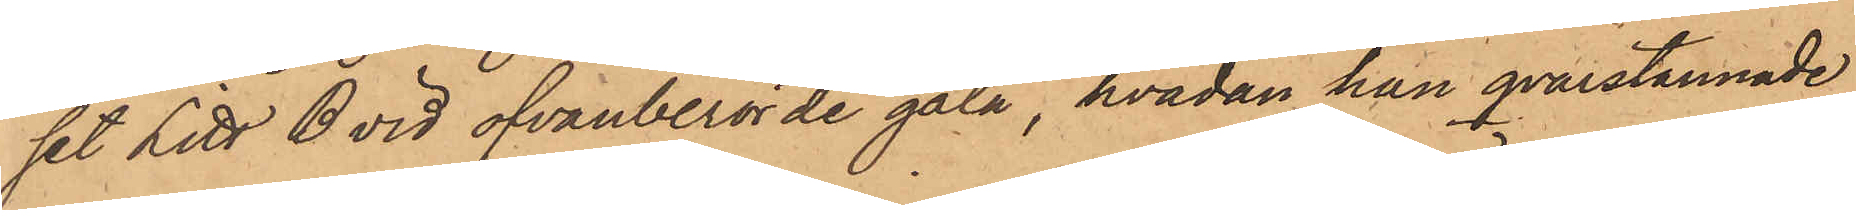set Litt. B vid ofvanberörde gata, hvadan han qvarstannade
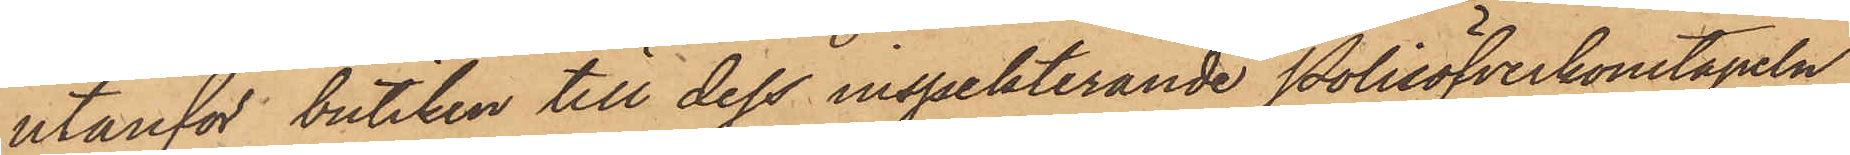utanför butiken till dess inspekterande Polisöfverkonstapeln
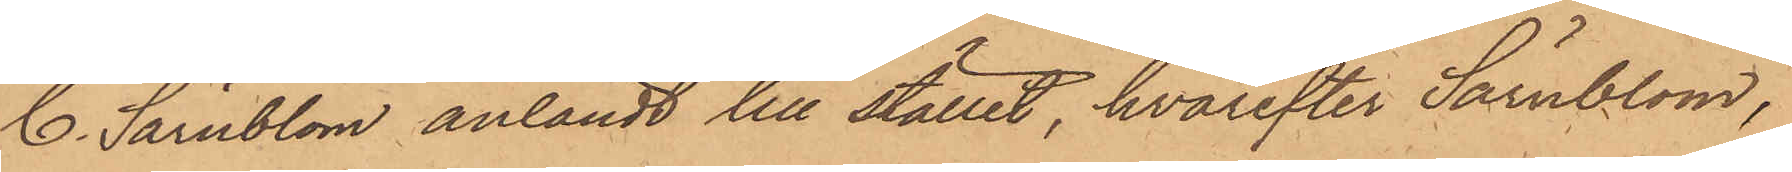C. Särnblom anländt till stället, hvarefter Särnblom,
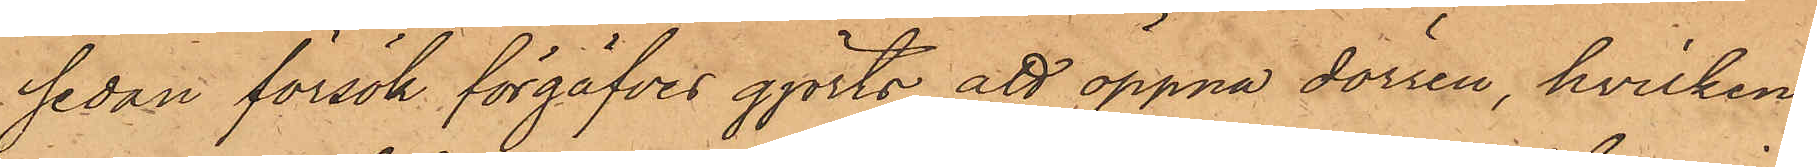sedan försök förgäfves gjorts att öppna dörren, hvilken
